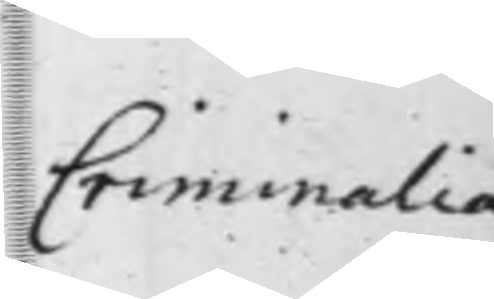Criminalia
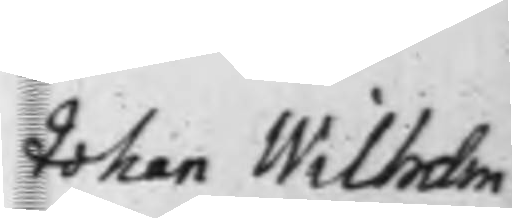Johan Wilhelm
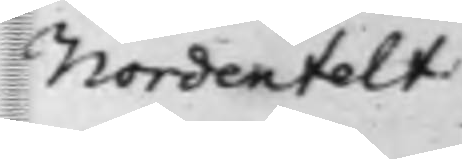Nordenfelt
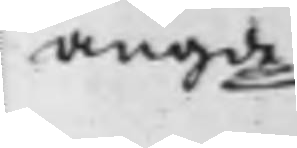angde
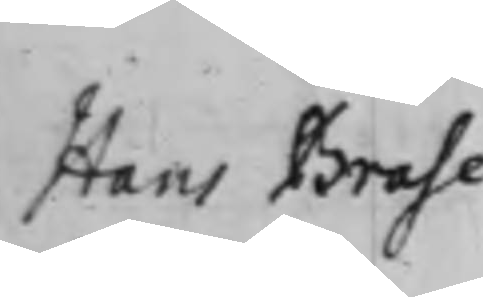Hans Brahe
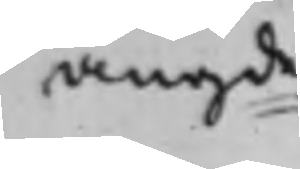angde
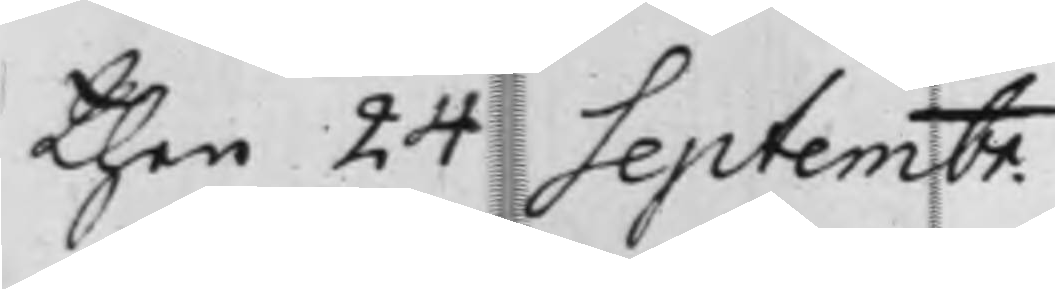then 24 Septembr.
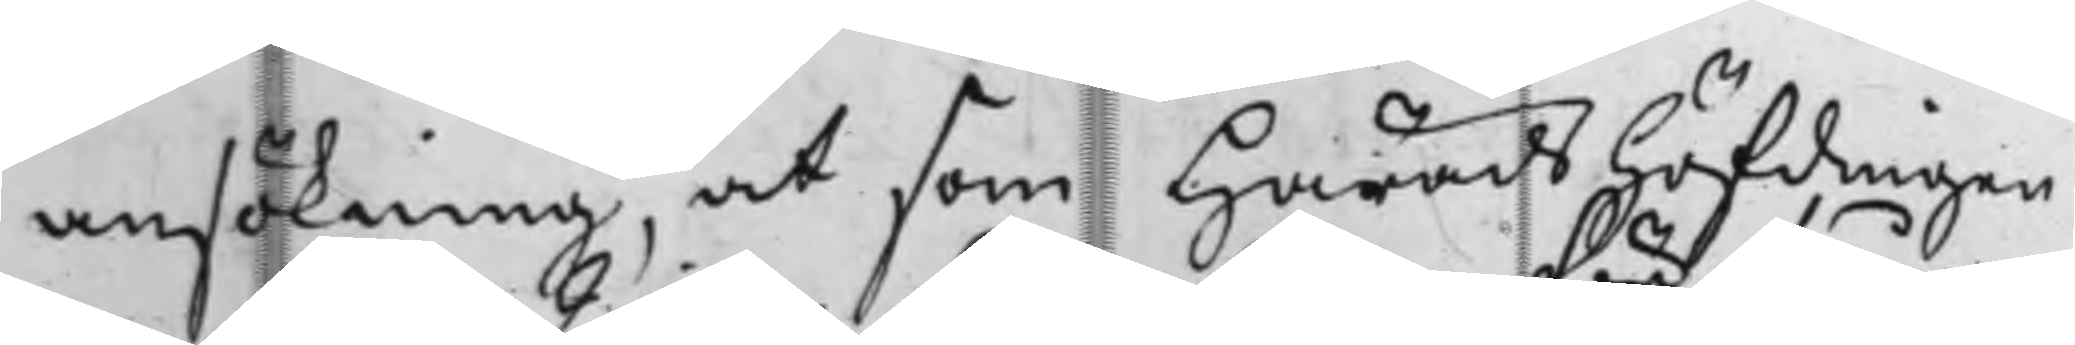ansökning, at som HäradsHöfdingen
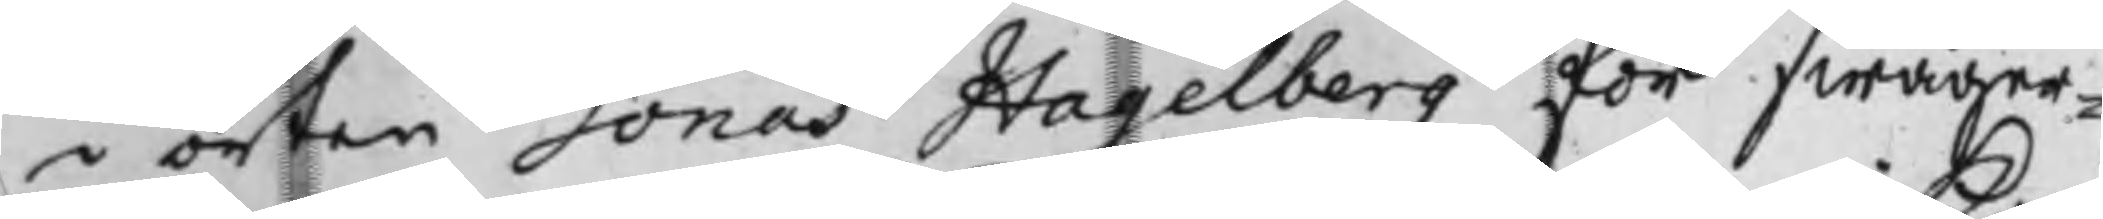i orten Jonas Hagelberg för swåger¬
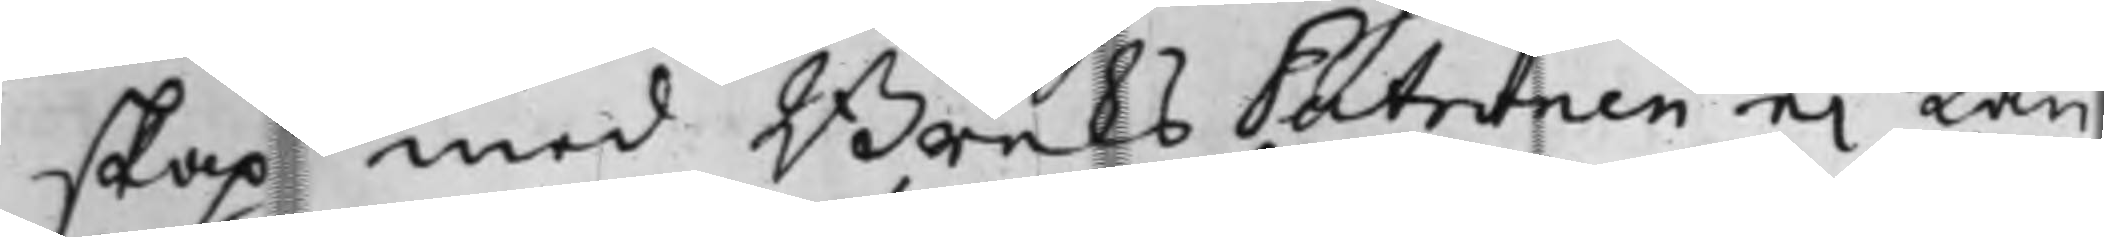skap med BruksPatronen ei kan
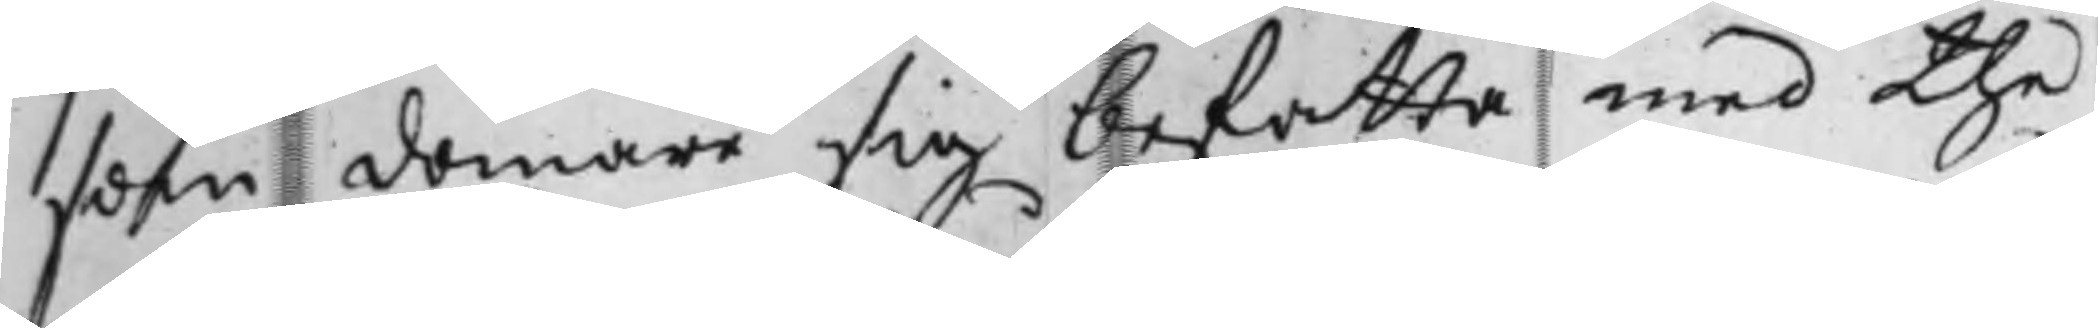som domare sig befatta med the
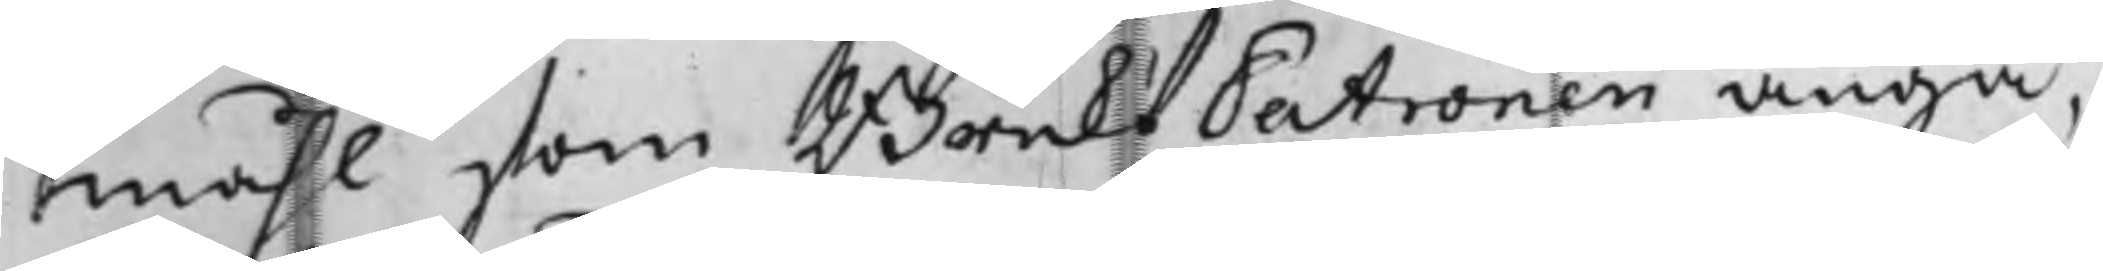måhl som BruksPatronen angå,
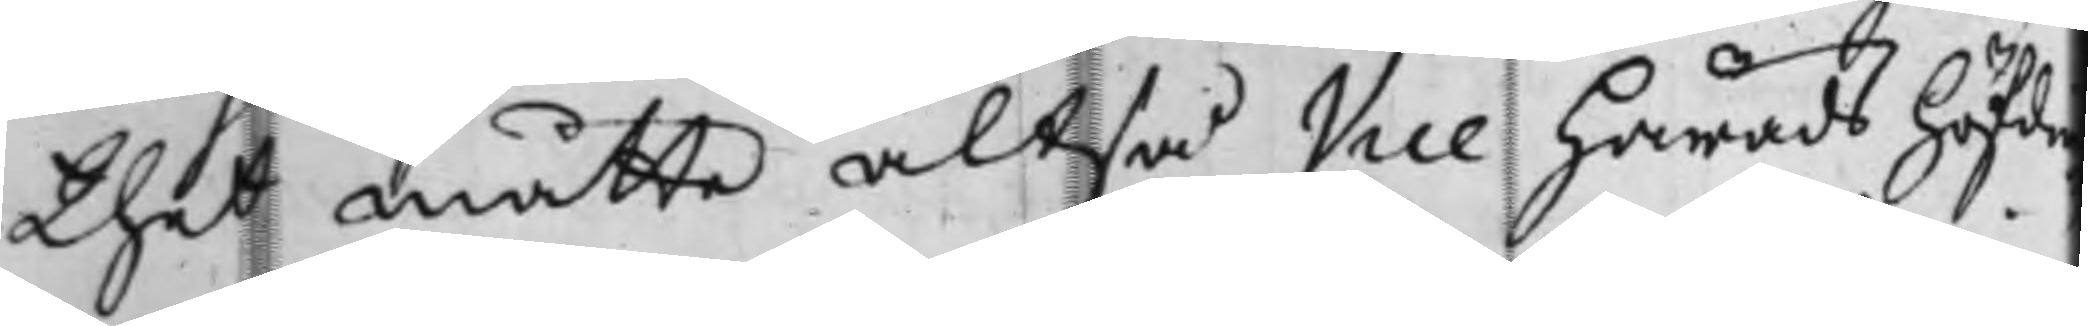thet måtte altså Vice Häradshöfdi¬
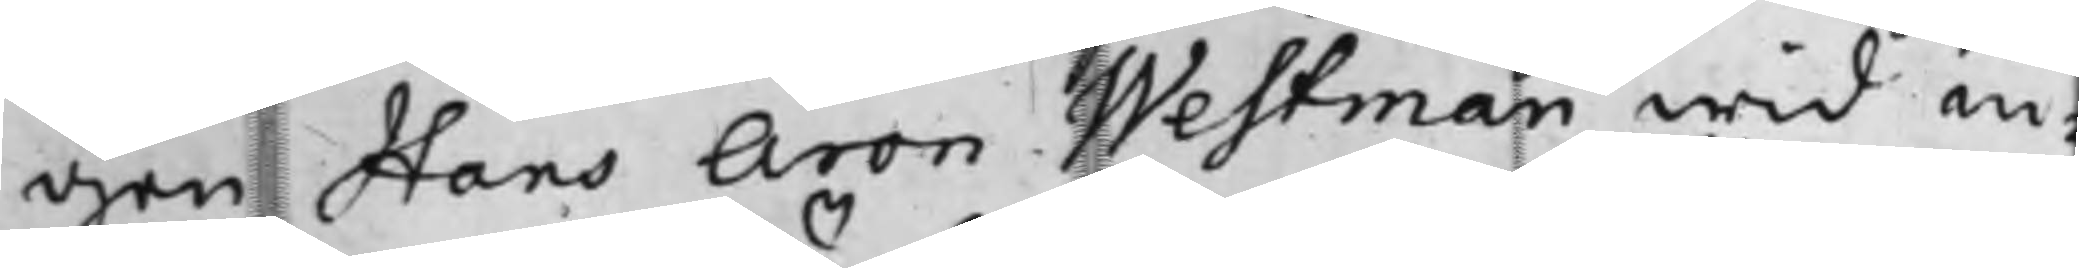gen Hans Aron Westman wid in¬
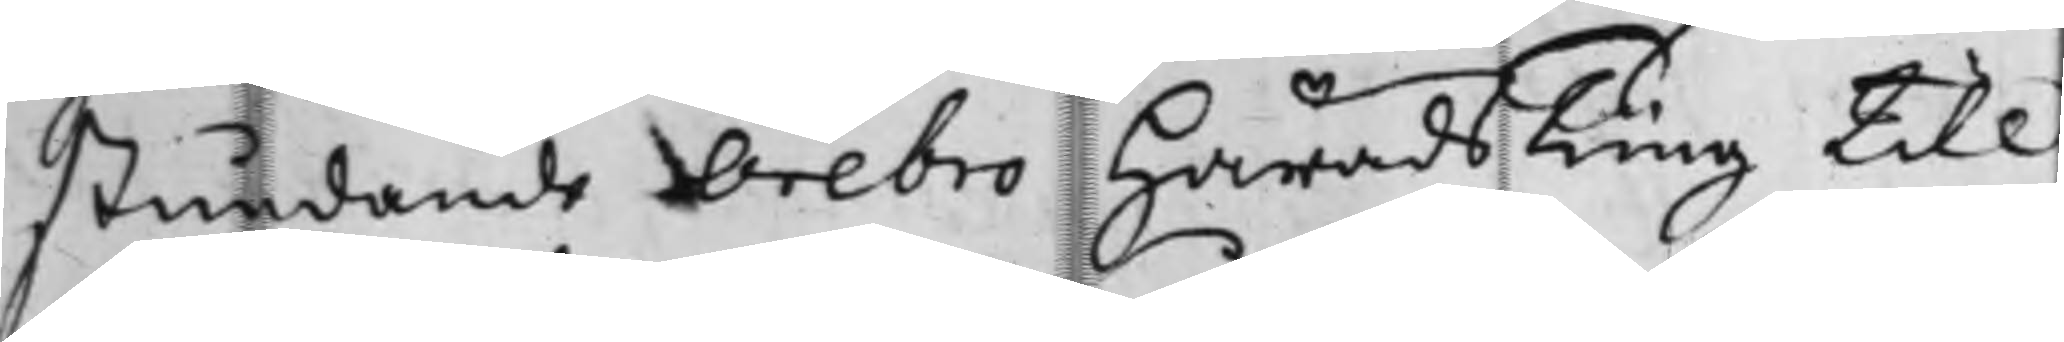stundande Örebro HäradsTing till
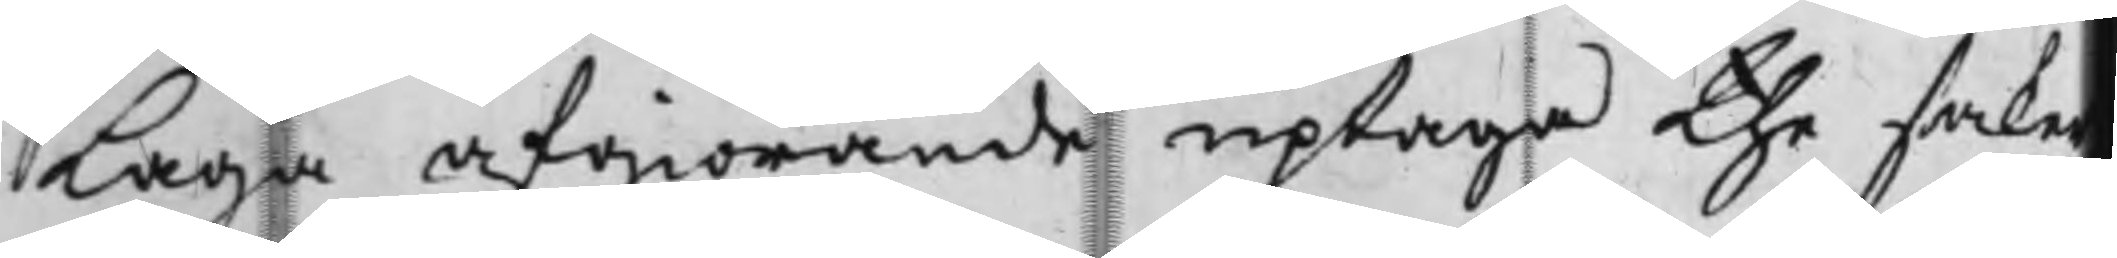Laga afgiörande uptaga the saker
